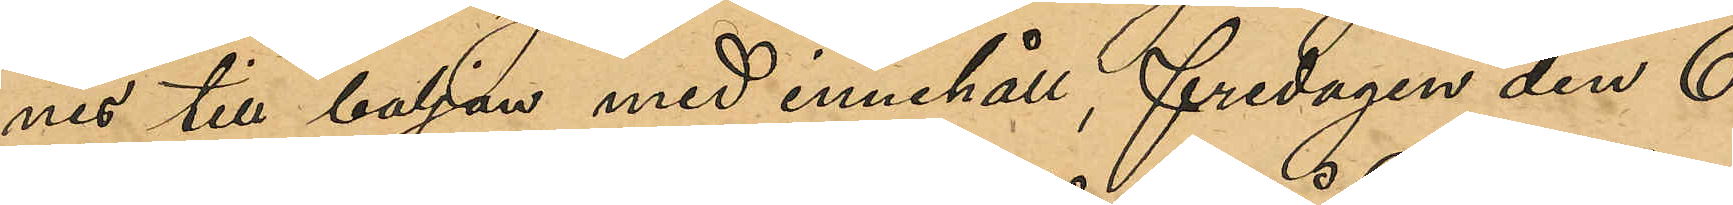nes till baljan med innehåll, fredagen den 6
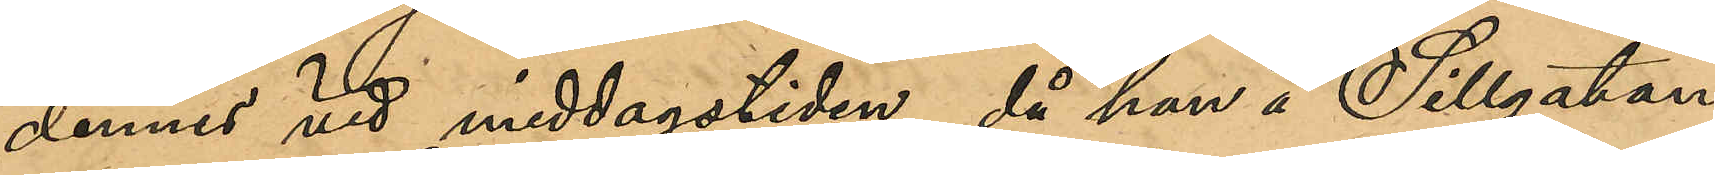dennes vid middagstiden, då han å Sillgatan
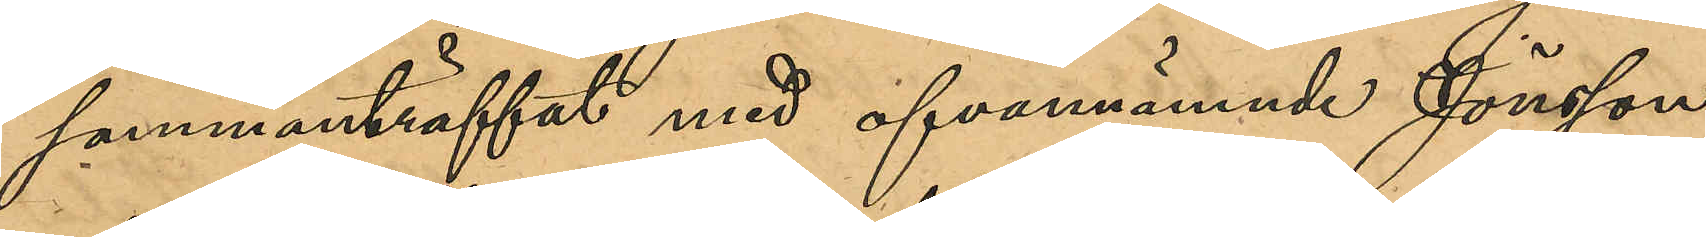sammanträffat med ofvannämnde Jönsson
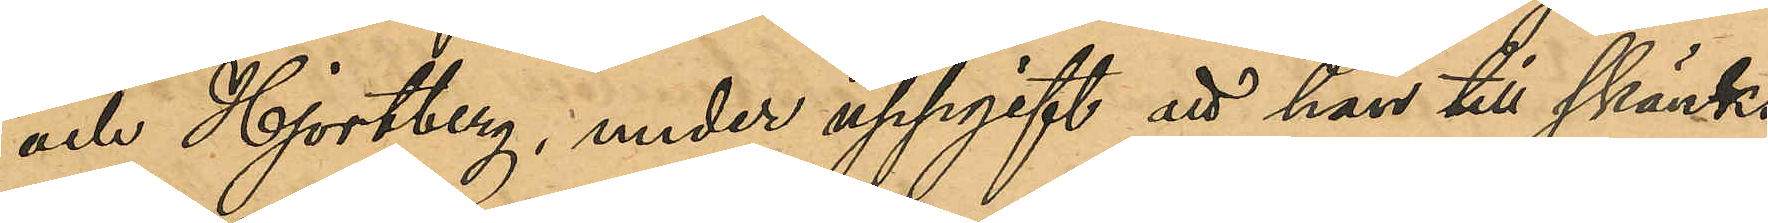och Hjortberg, under uppgift att han till skänks
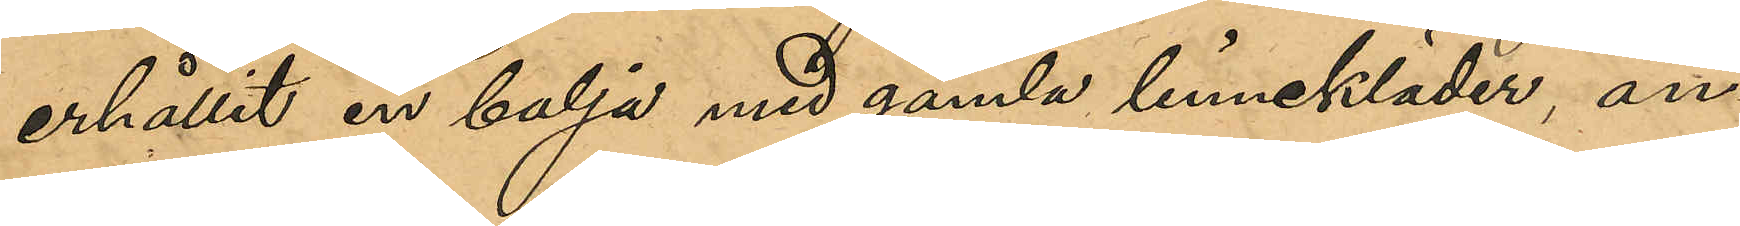erhållit en balja med gamla linnekläder, an¬
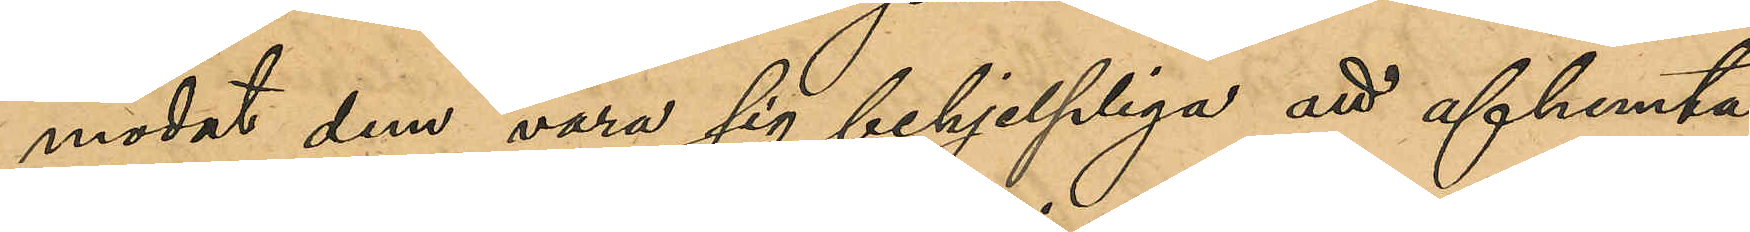modat dem vara sig behjelplig att afhemta
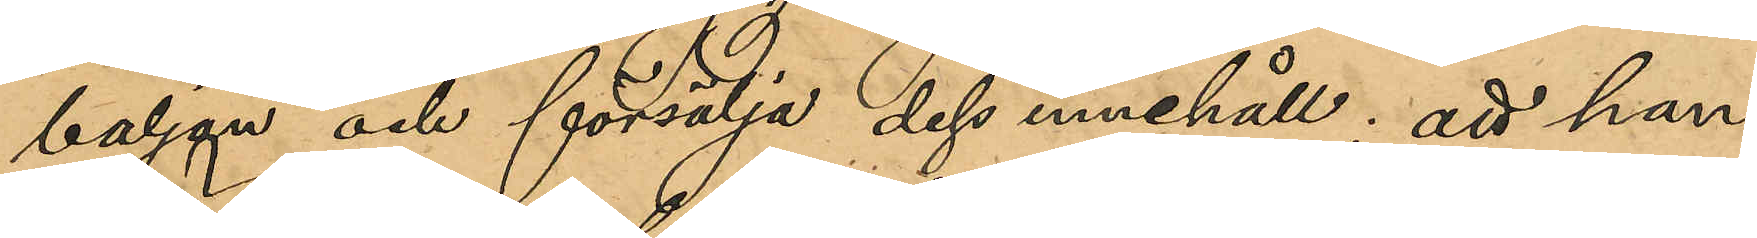baljan och försälja dess innehåll; att han
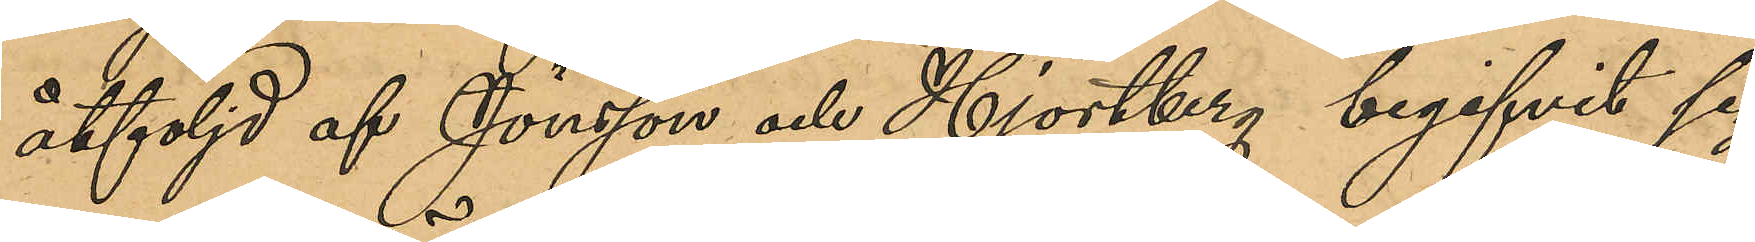åtföljd af Jönsson och Hjortberg begifvit sig
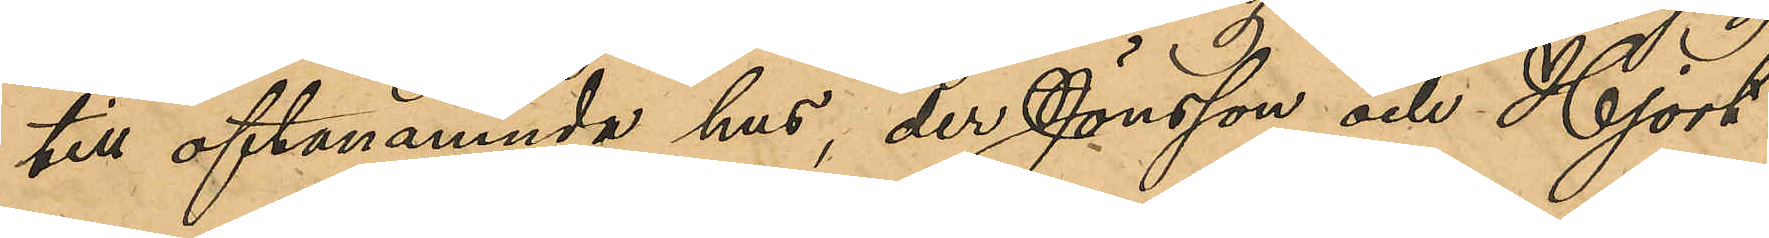till ofvannämnde hus, der Jönsson och Hjort¬
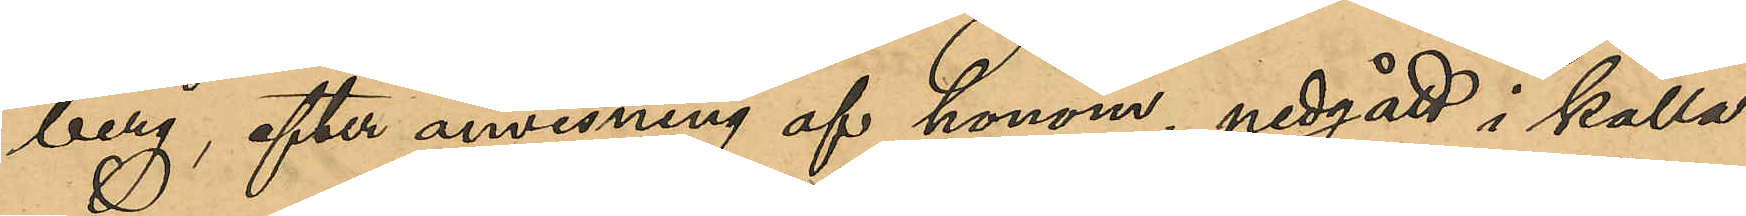berg efter anvisning af honom, nedgått i källa¬
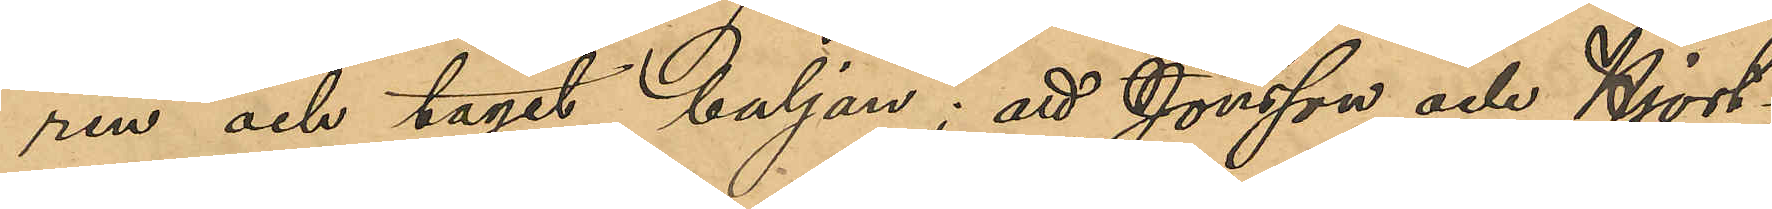ren och tagit baljan; att Jönsson och Hjort¬
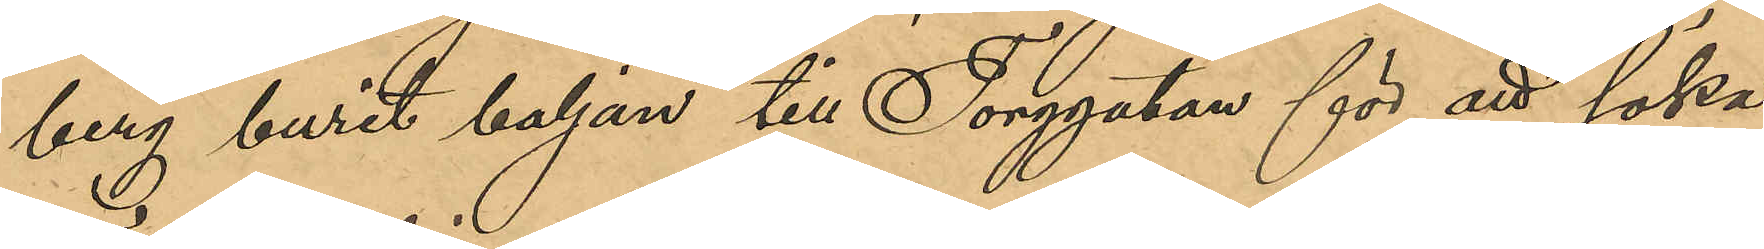berg burit baljan till Torggatan för att söka
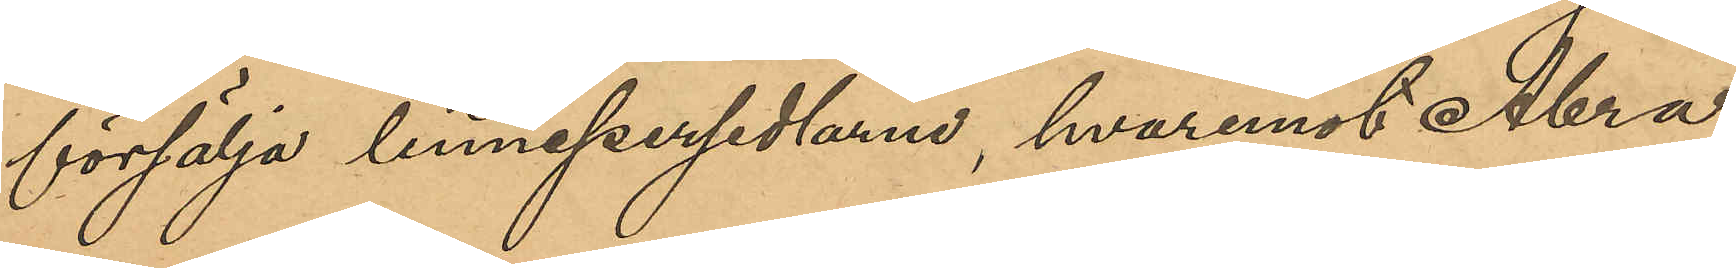försälja linnepersedlarne, hvarmed Abra¬
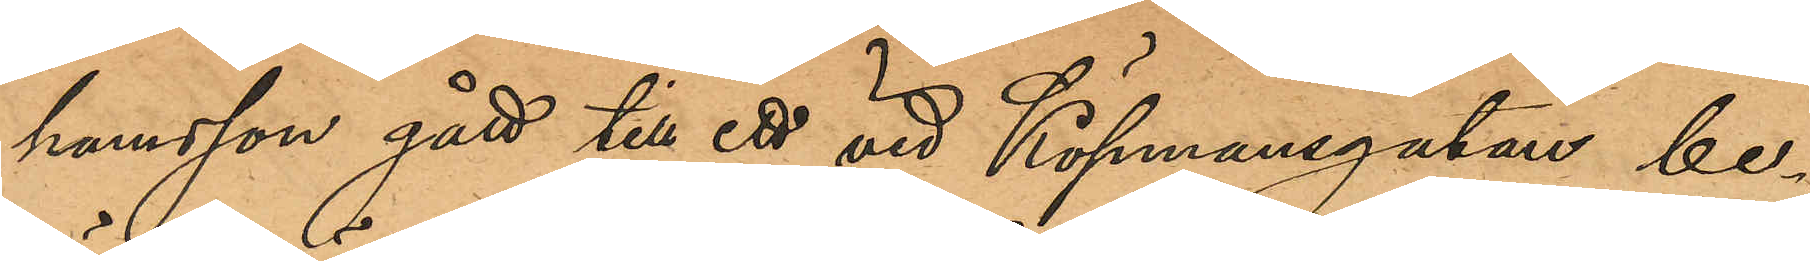hamsson gått till ett vid Köpmnasgatan be¬
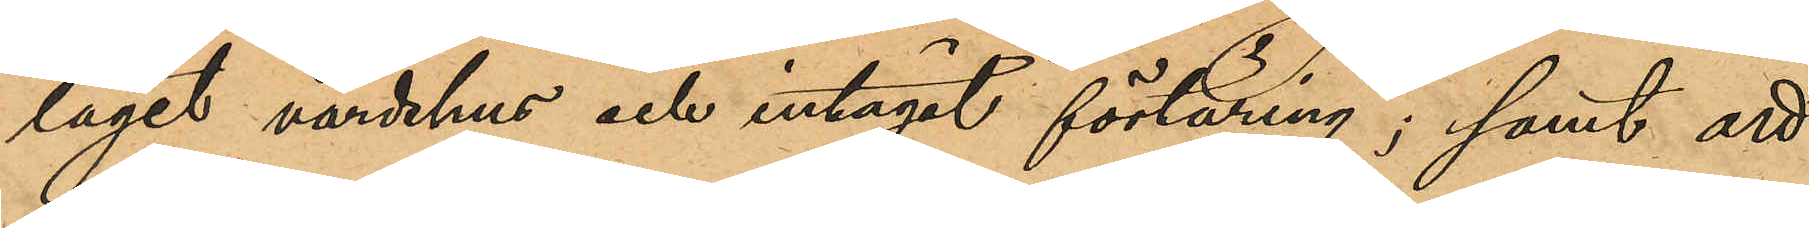läget värdshus och intagit förtäring; samt att
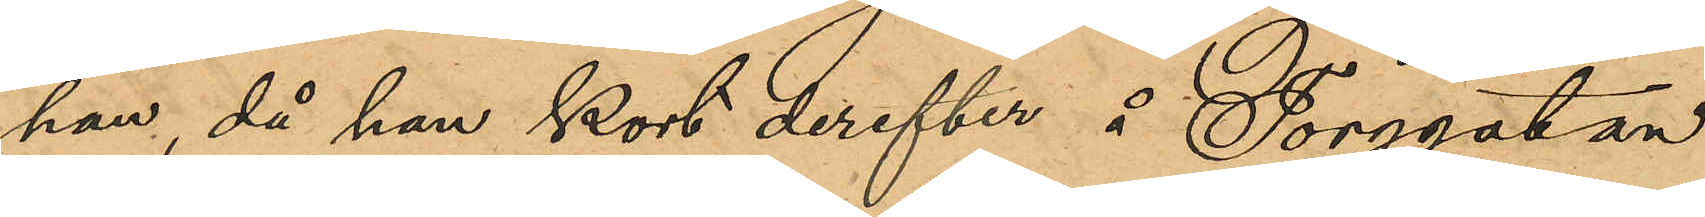han, då han kort derefter å Torggatan
